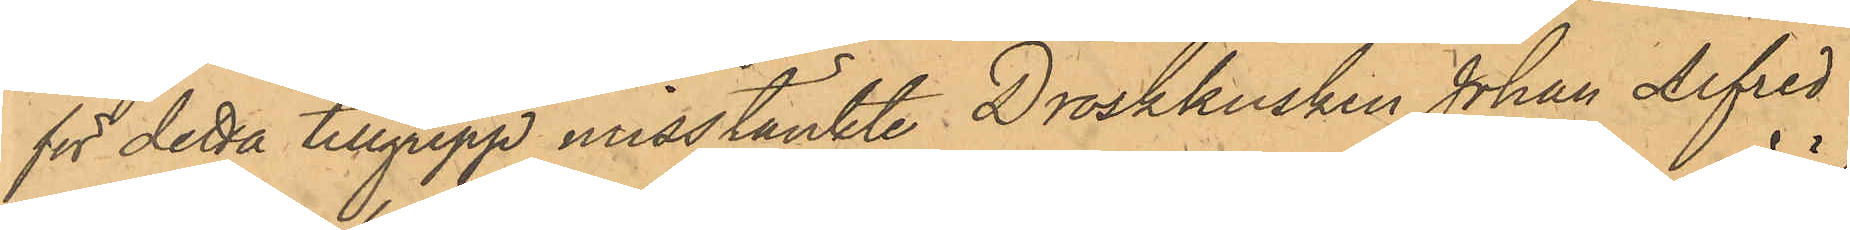för detta tillgrepp misstänkte Droskkusken Johan Alfred
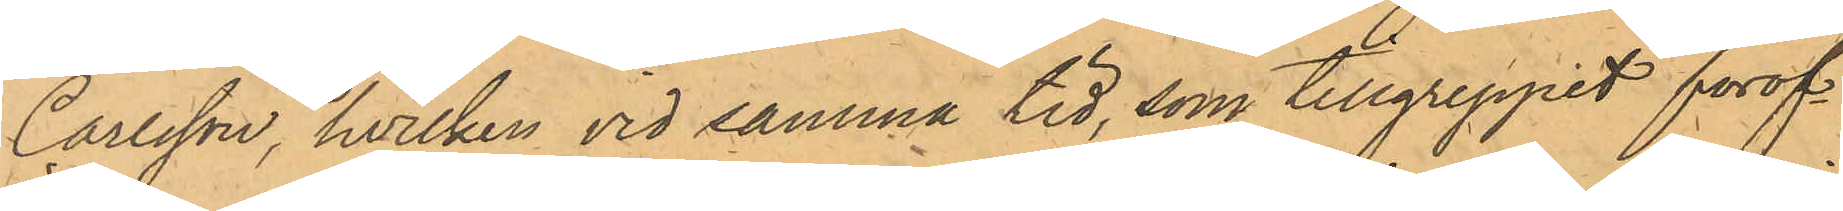Carlsson, hvilken vid samma tid, som tillgreppet föröf¬
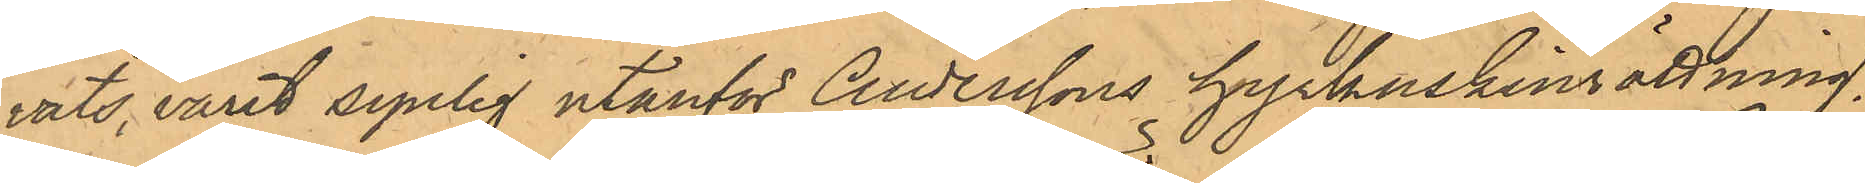vats, varit synlig utanför Anderssons hyrkuskinrättning.
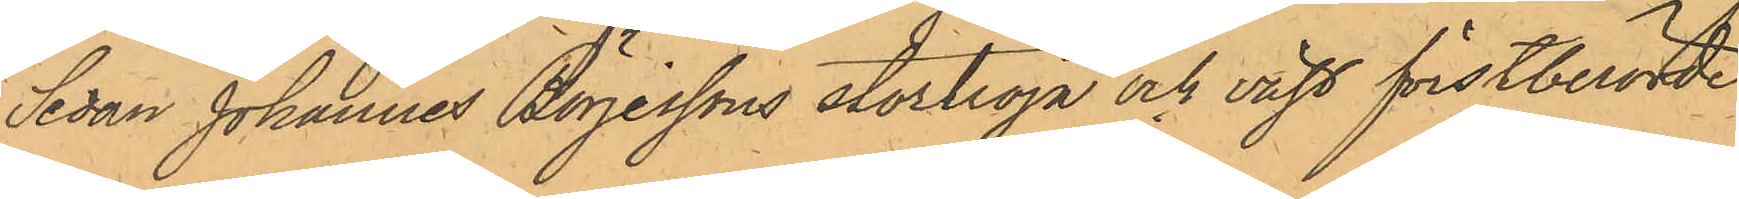Sedan Johannes Börjessons stortröja och väst förstberörde
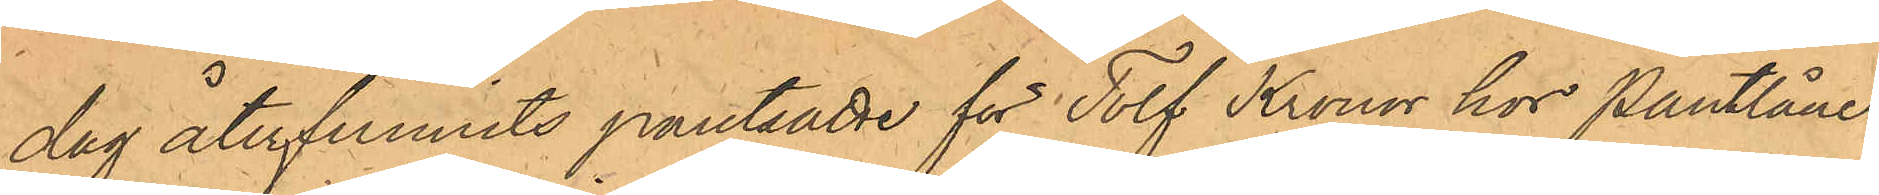dag återfunnits pantade för Tolf Kronor hos Pantlåner¬
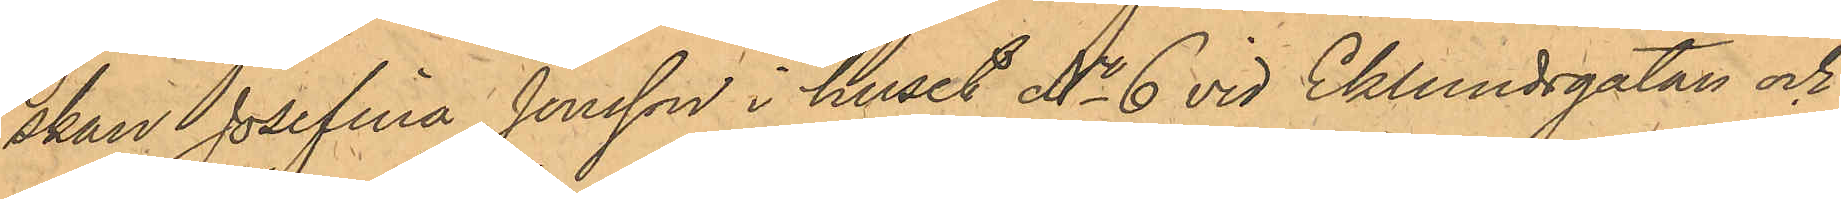skan Josefina Jonsson i huset No 6 vid Eklundsgatan och
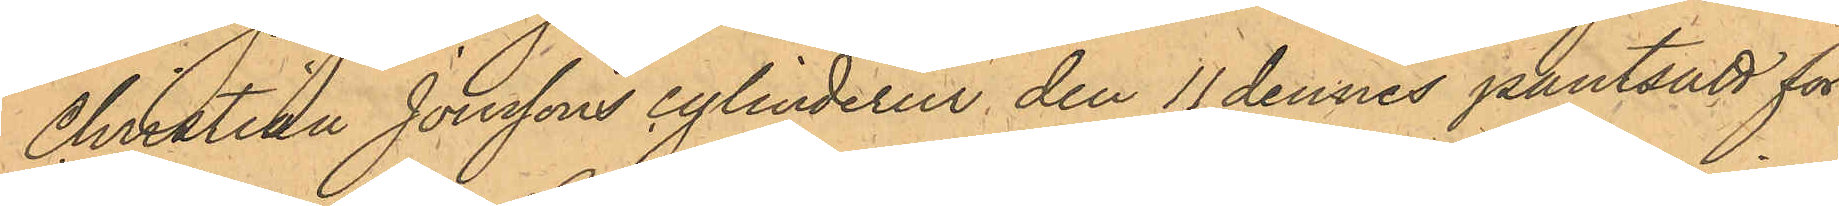Christian Jonssons cylinderur den 11 dennes pantsatt för
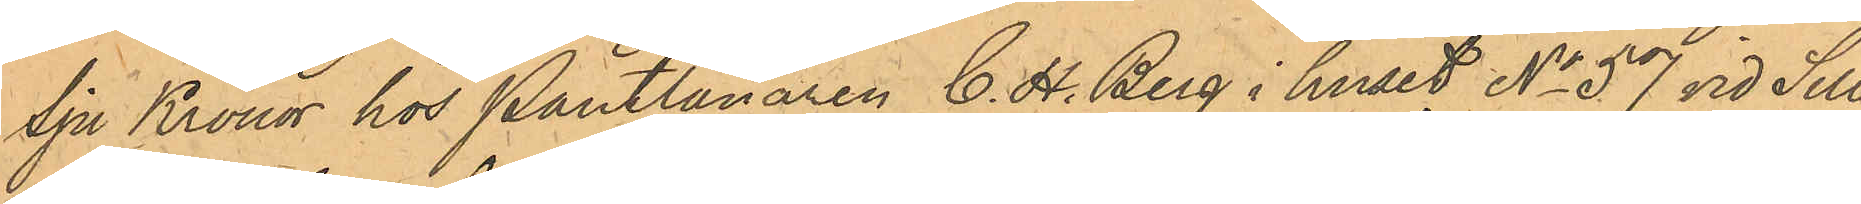Sju Kronor hos Pantlånaren C. H. Berg i huset No 57 vid Sill¬
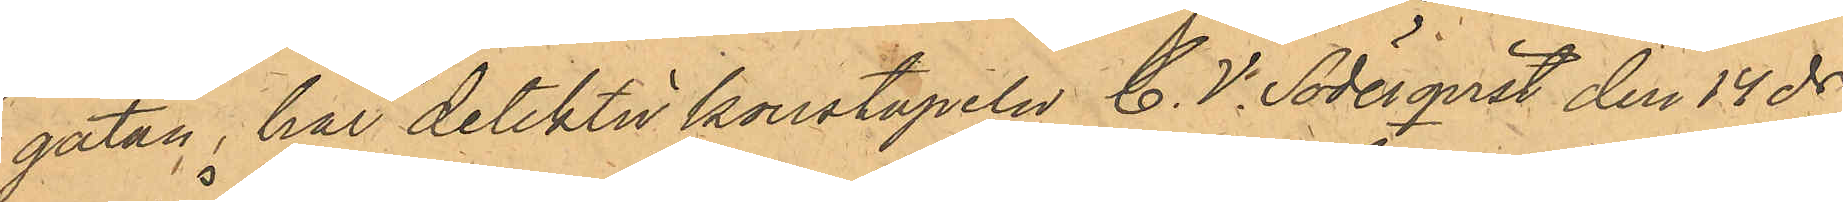gatan, har detektivkonstapeln C. V. Söderqvist den 14 ds
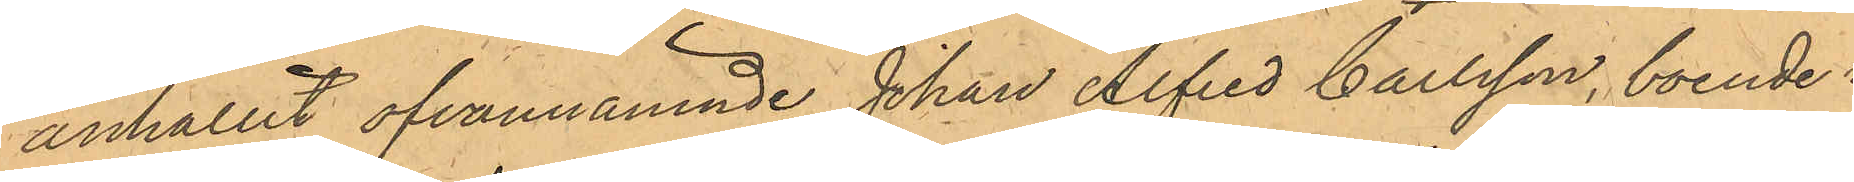anhållit ofvannämnde Johan Alfred Carlsson, boende i
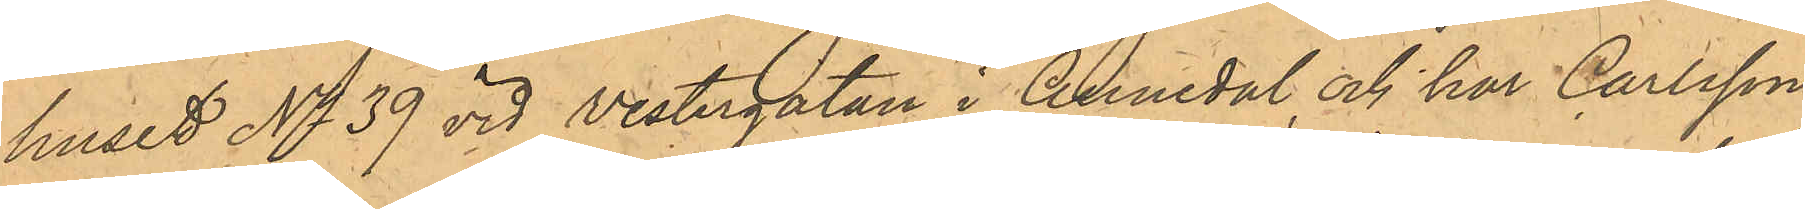huset No 39 vid Vestergatan i Annedal och har Carlsson
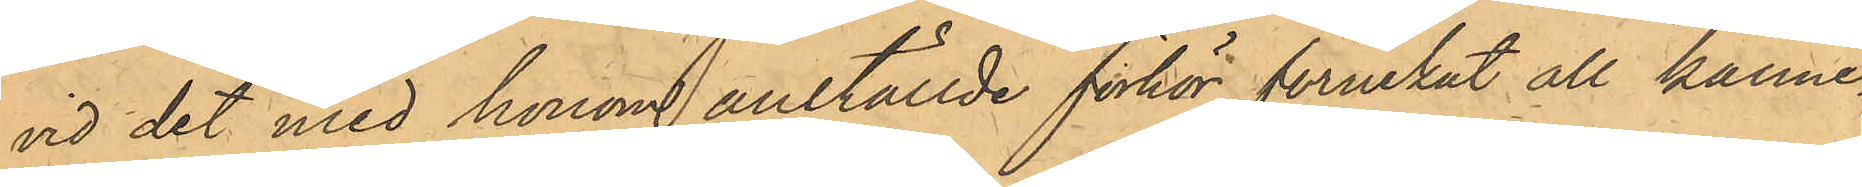vid det med honom anställde förhör förnekat all känne¬
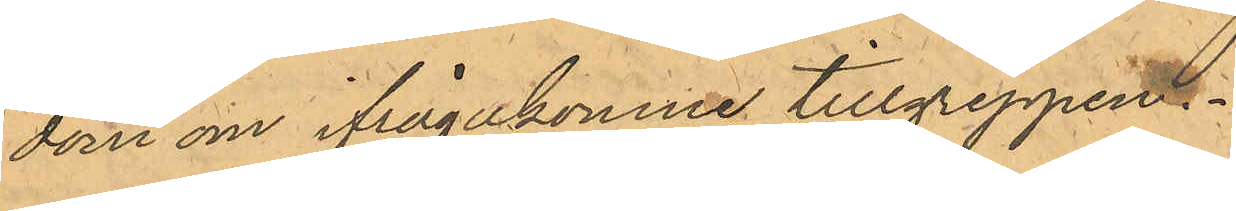dom om ifrågakomne tillgreppen.
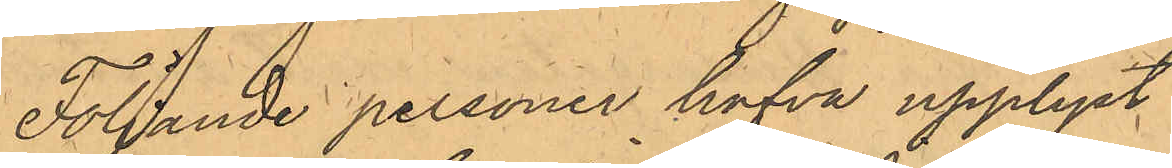Följande personer hafva upplyst
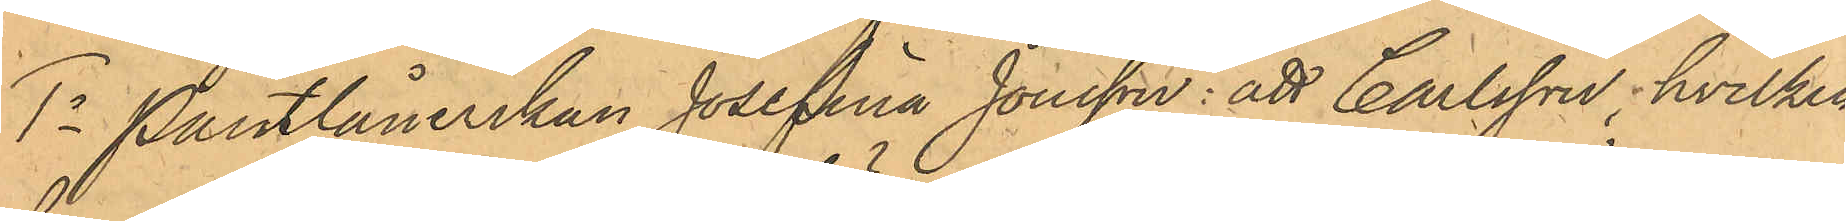1o Pantlånerskan Josefina Jonsson: att Carlsson, hvilken
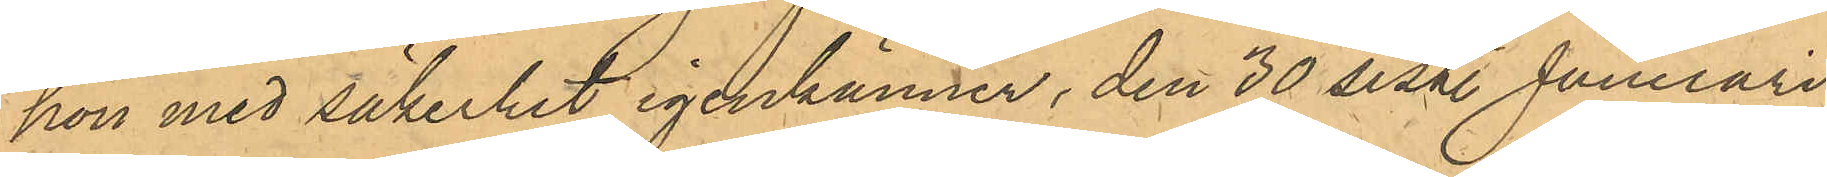hon med säkerhet igenkänner, den 30 sist. Januari
